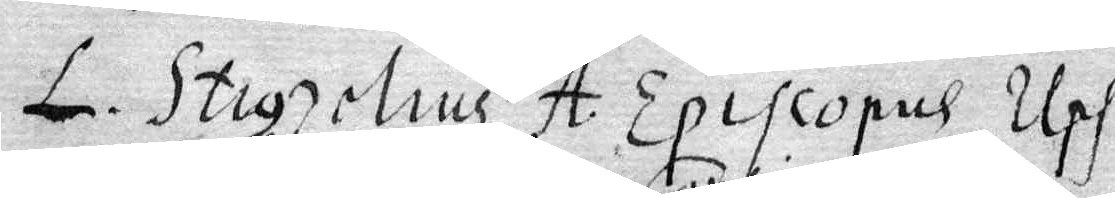L. Stigzelius A. Episcopus Ups.
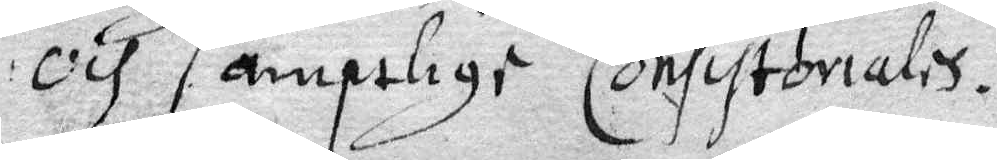och samptlige Consistoriales.
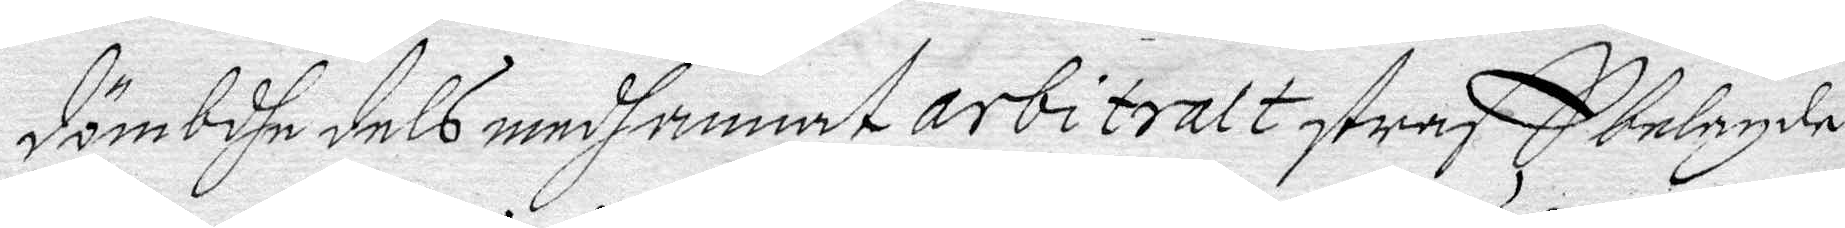dömbdhe dels medhannat arbitralt straff belagde
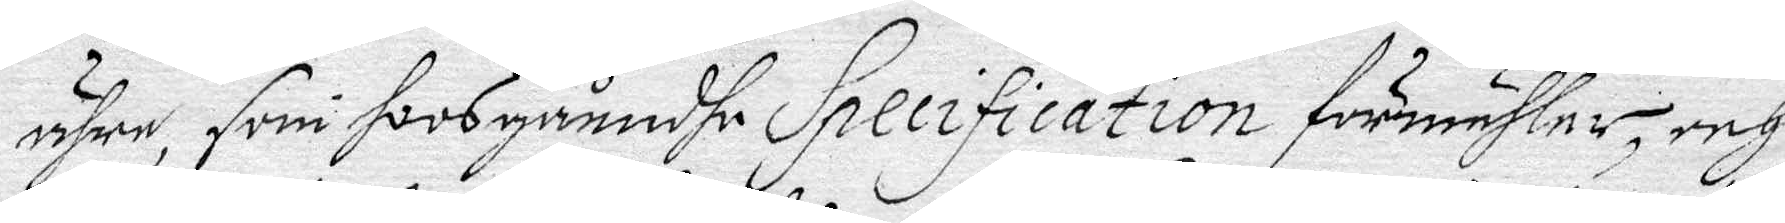ähre, som hoos gåendhe Specification förmähler, ech
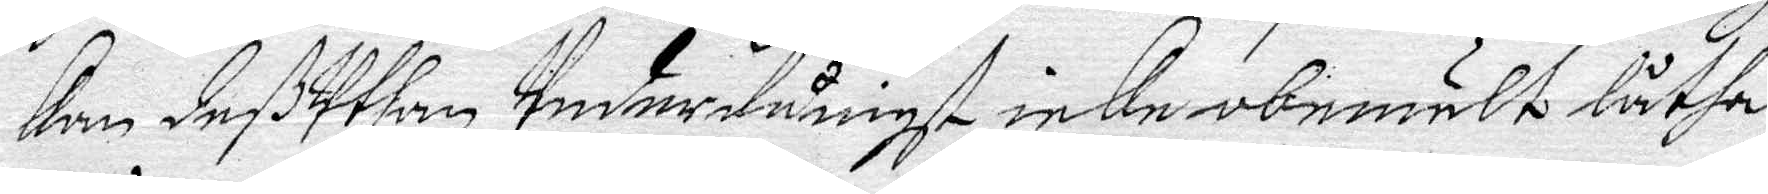kan deßUthan Underdånigst icke obemält låtha
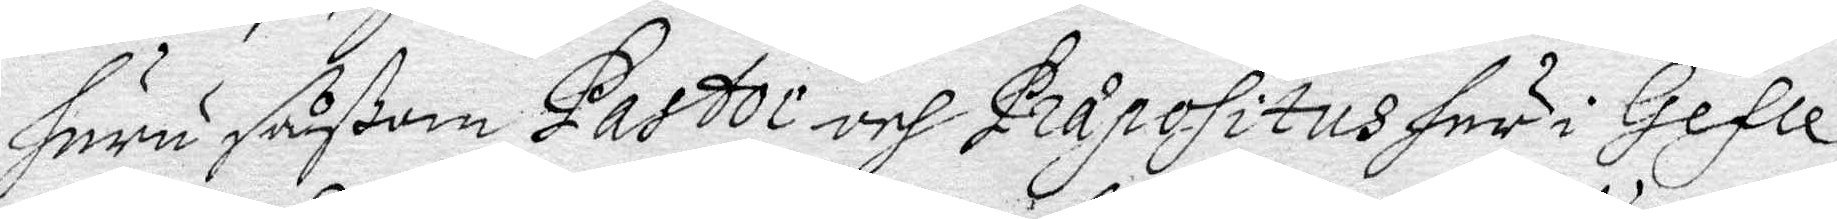huru såßom Pastor och Pråpositus här i Gefle
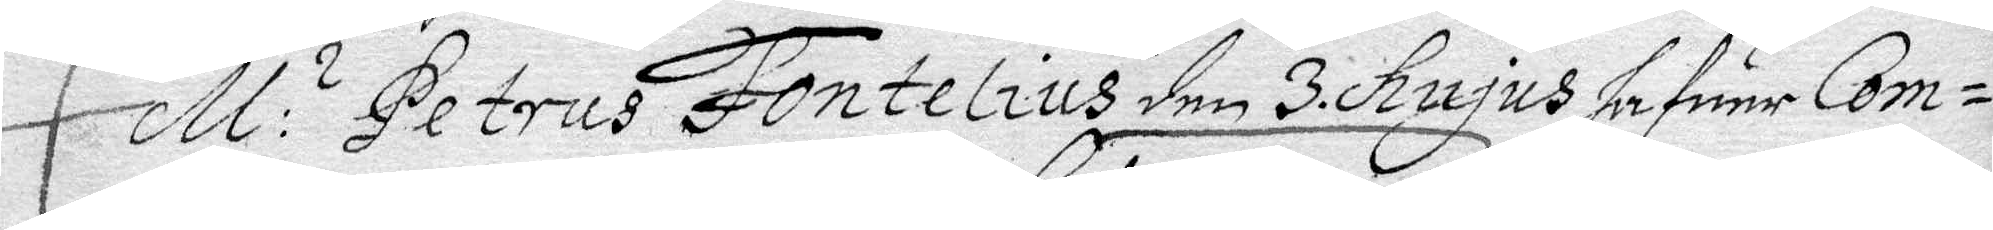M: s Petrus Fontelius den 3 hujus hafuer Com¬
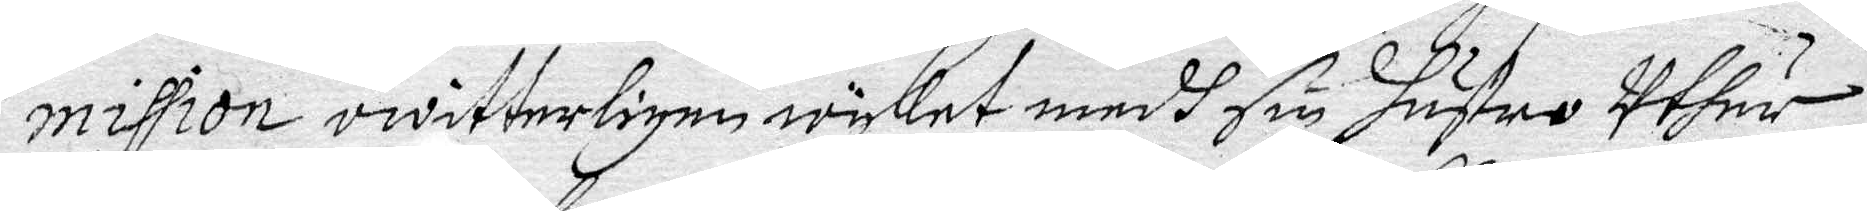mission owitterligen wyket medh sin Hustru uthur
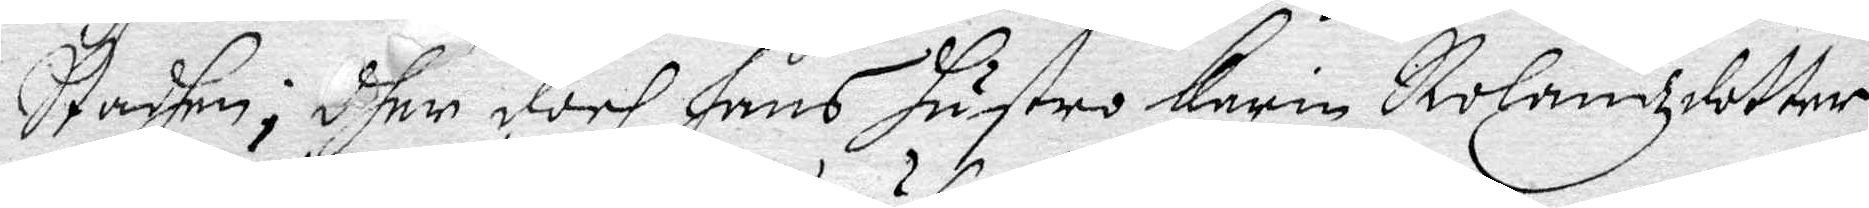Stadehen, dher doch hns Hustru Karin Rolandzdotter
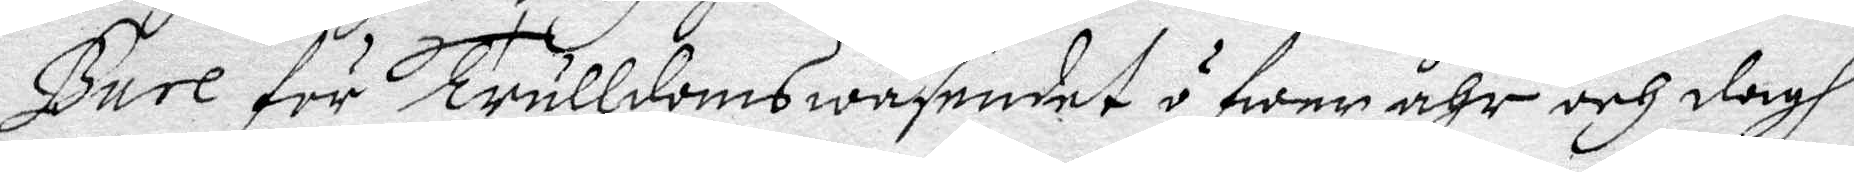Bure för trulldomswäsendet öfwer åhr och dagh
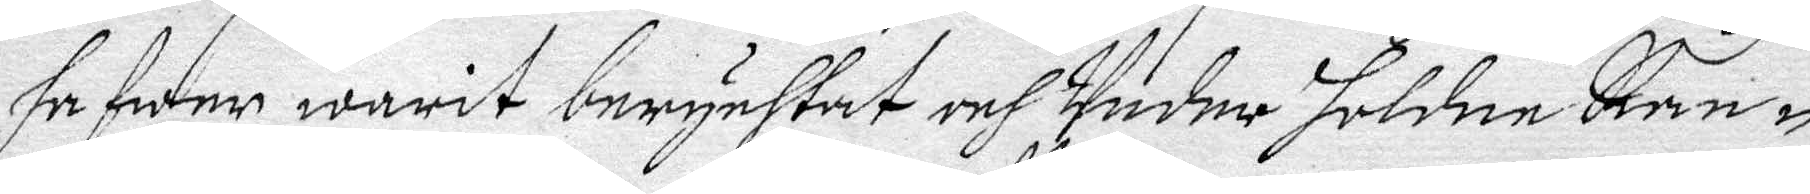hafwer warit berychtat och Under holdne Ran¬
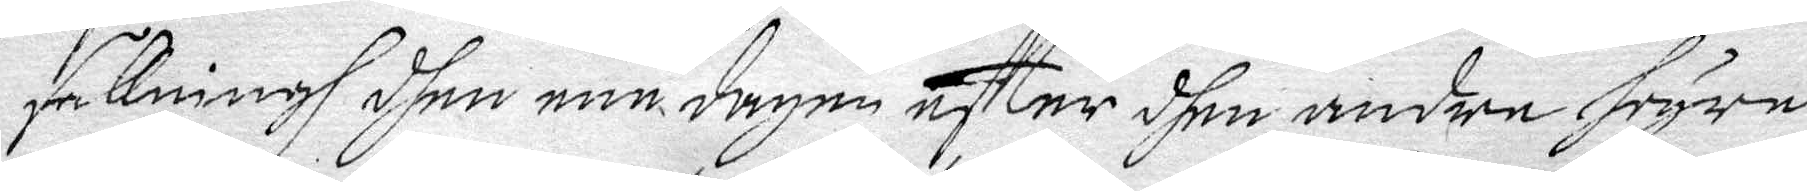sakningh dhen ene dagen effter dhen andre, hoyre
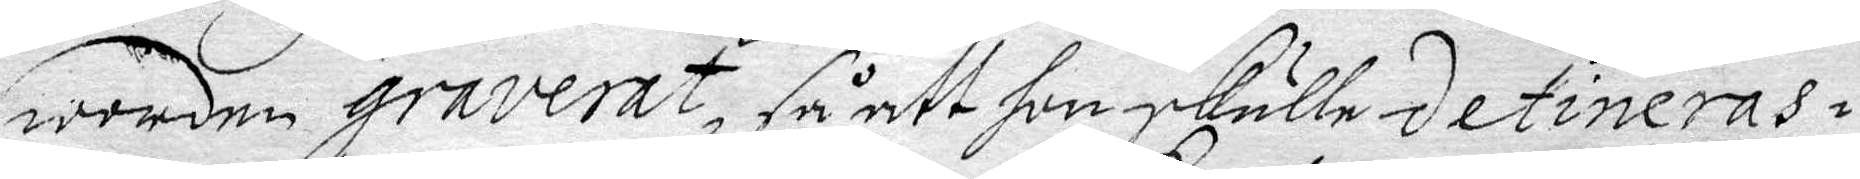worden graverat, så att hon skulle detineras
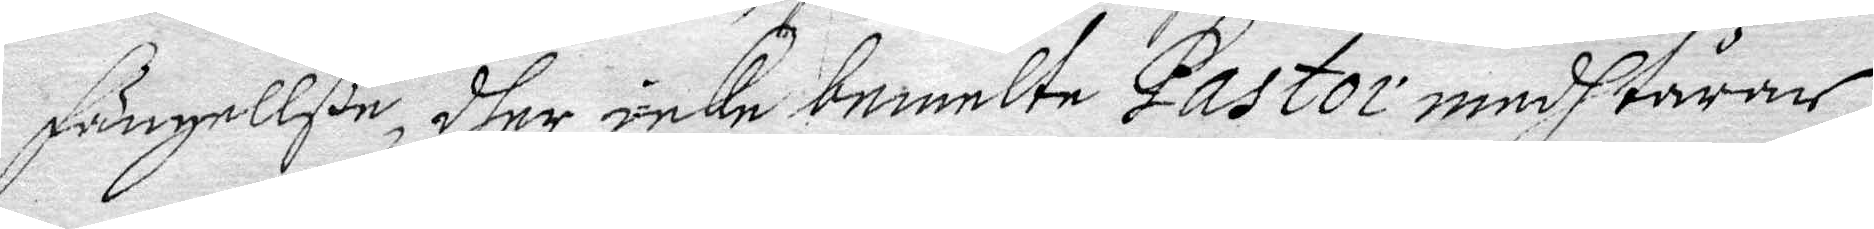fängellße, dher icke bemelte Pastor med tårar
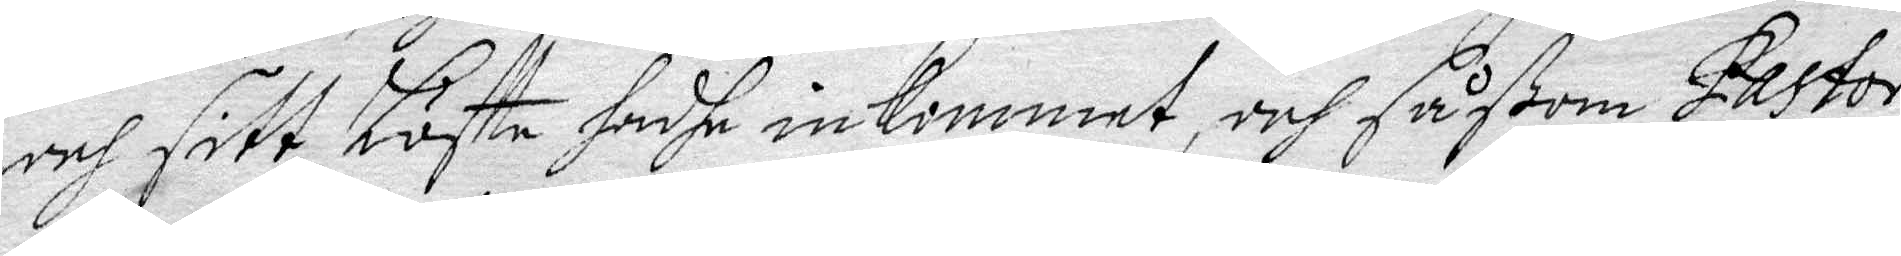och sitt Löffte hadhe inkommit, och såßom Pastor
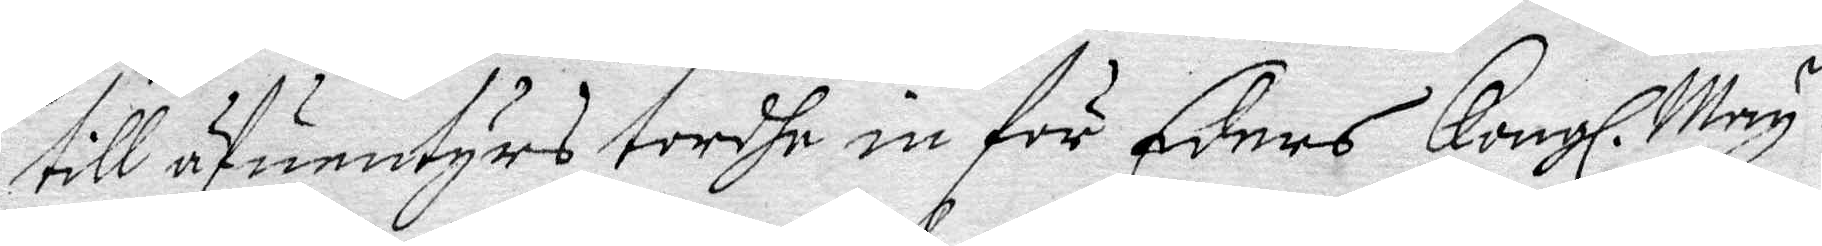till äfunntyrs tordhe in för Eders Kongl. May. dt
